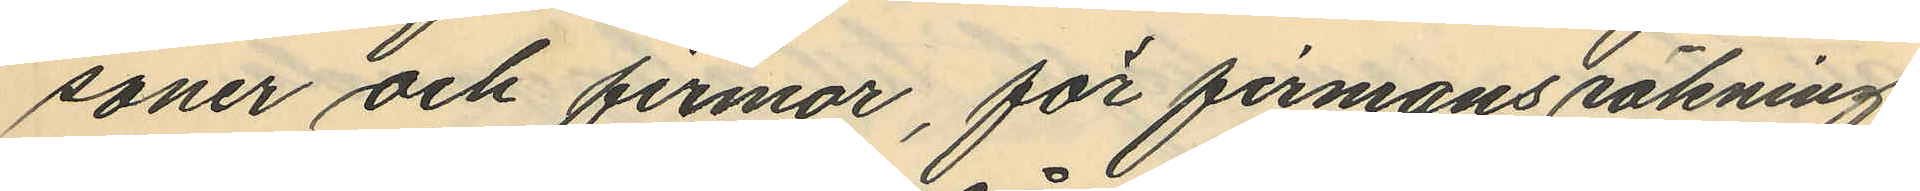soner och firmor, för firmans räkning
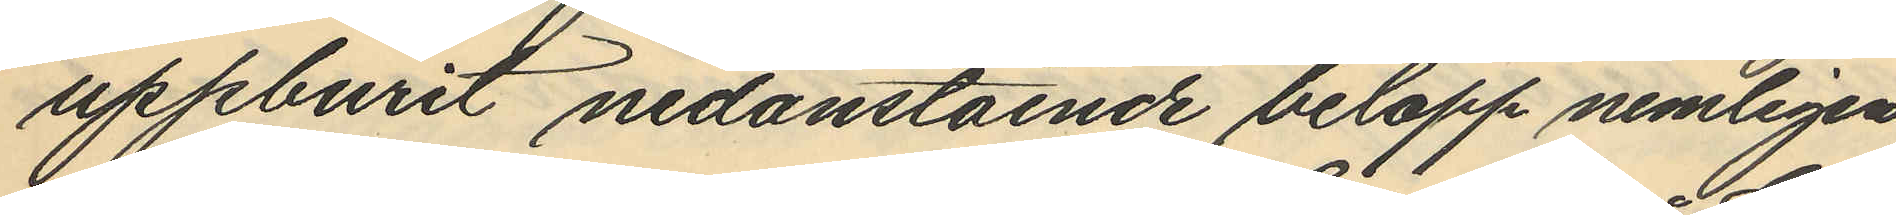uppburit nedanstående belopp nemligen
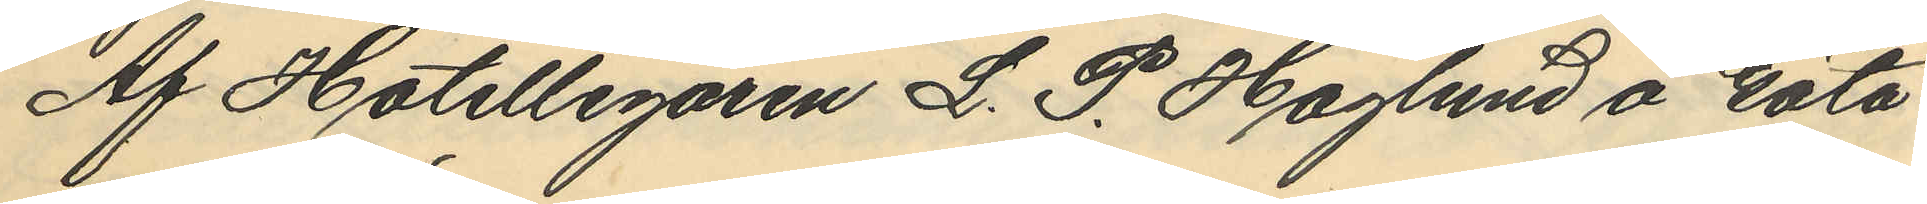Af Hotellegaren L. P. Haglund å Göta
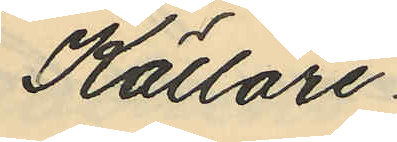Källare.
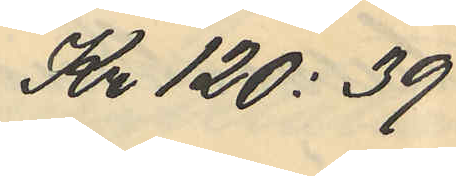Kr 120:39
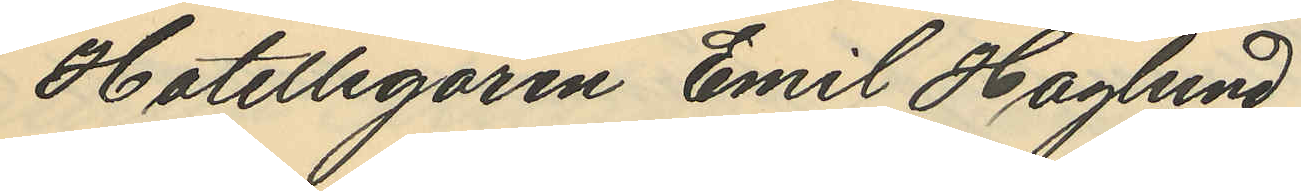Hotellegaren Emil Haglund
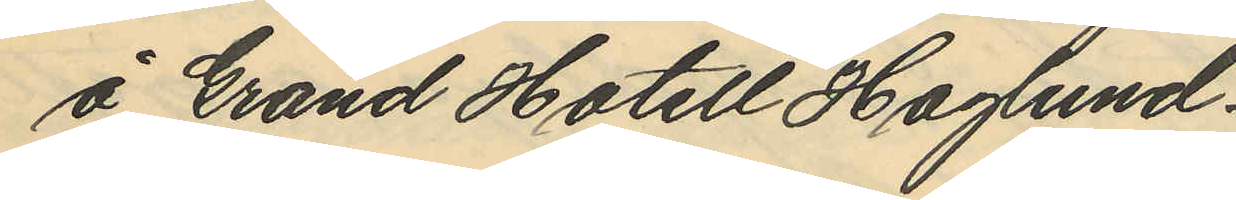å Grand Hotell Haglund.
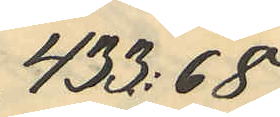433:68
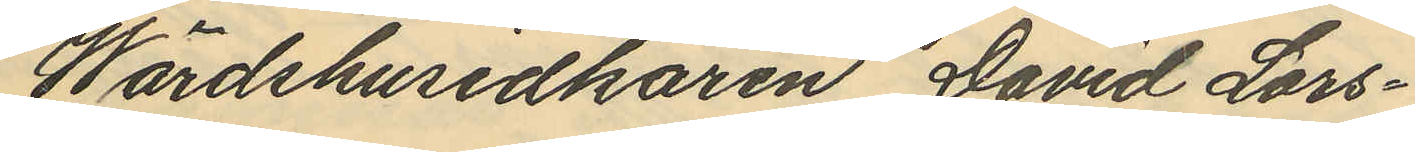Wärdshusidkaren David Lars¬
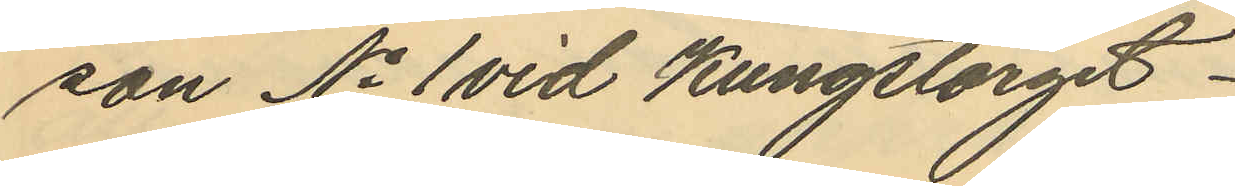son No 1 vid Kungstorget
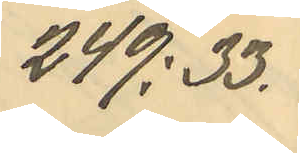249:33.
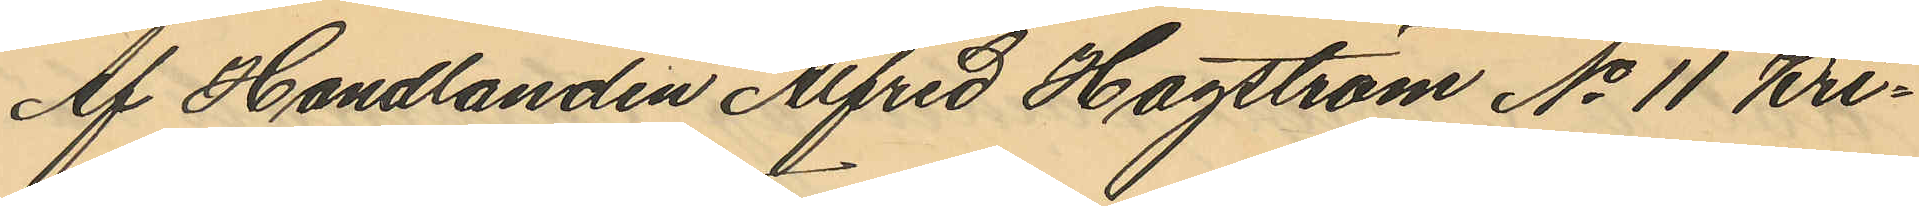Af Handlanden Alfred Hagström No 11 Kri¬
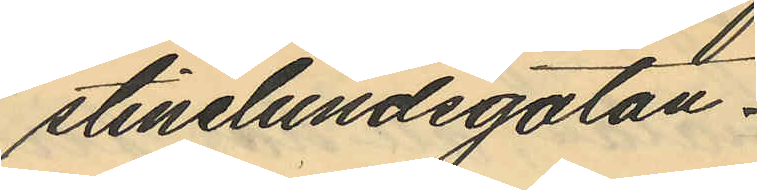stinelundsgatan.
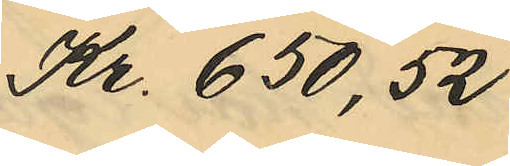Kr. 650,52
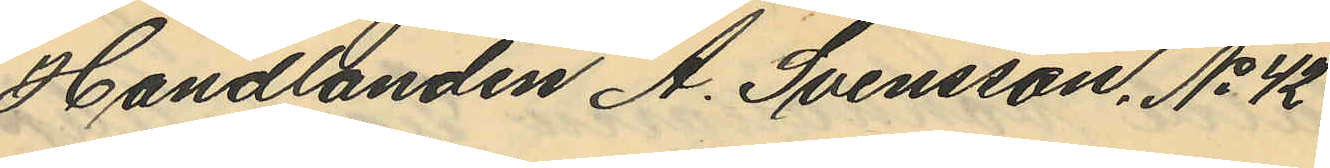Handlanden A. Svensson, No 42
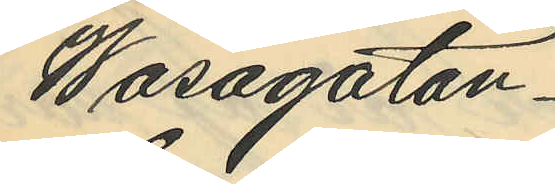Wasagatan.
